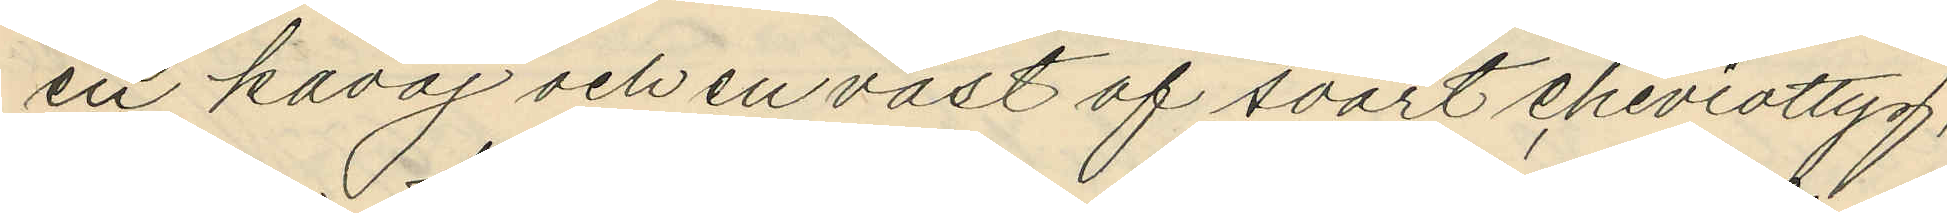en kavaj och en väst af svart cheviottyg,
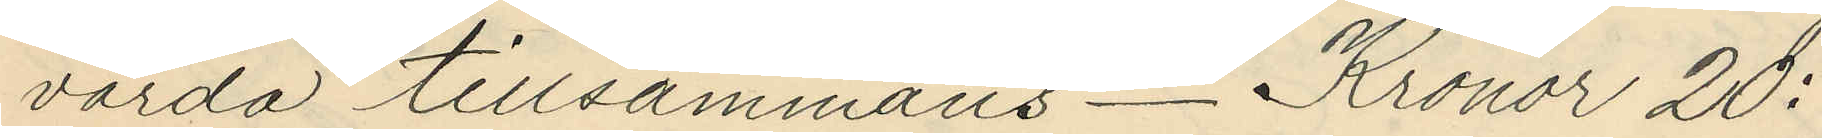värda tillsammans _ Kronor 20:
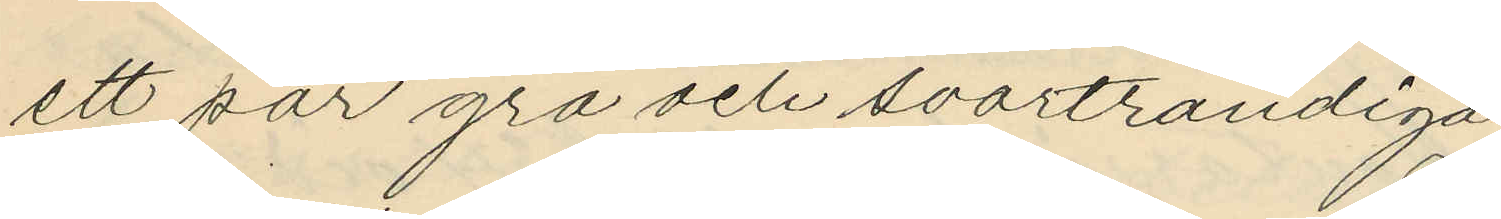ett par grå och svartrandiga
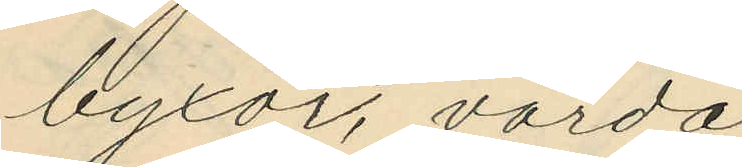byxor, värda
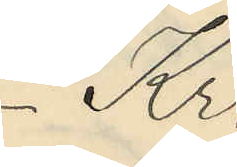Kr.
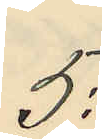5:
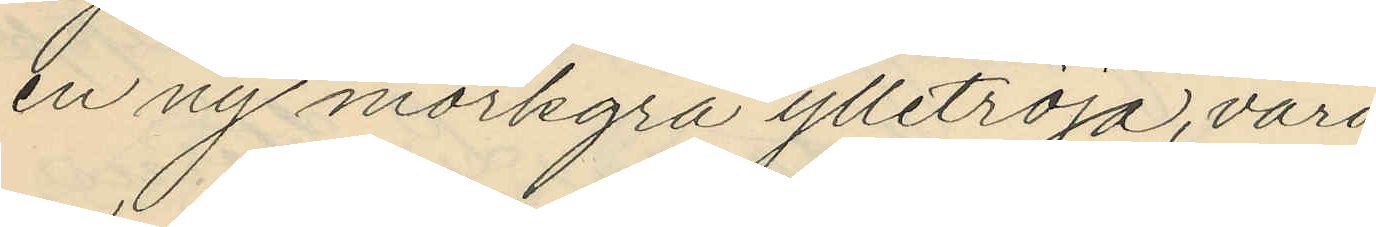en ny mörkgrå ylletröja, värd
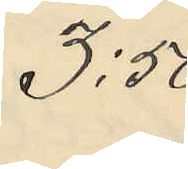3:50
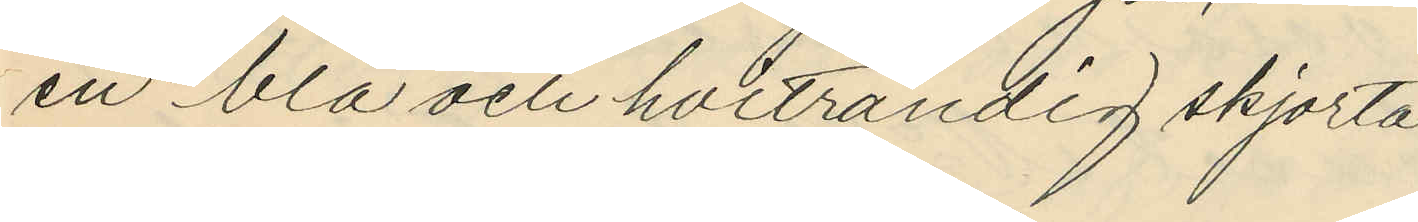en blå och hvitrandig skjorta,
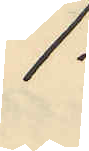1:
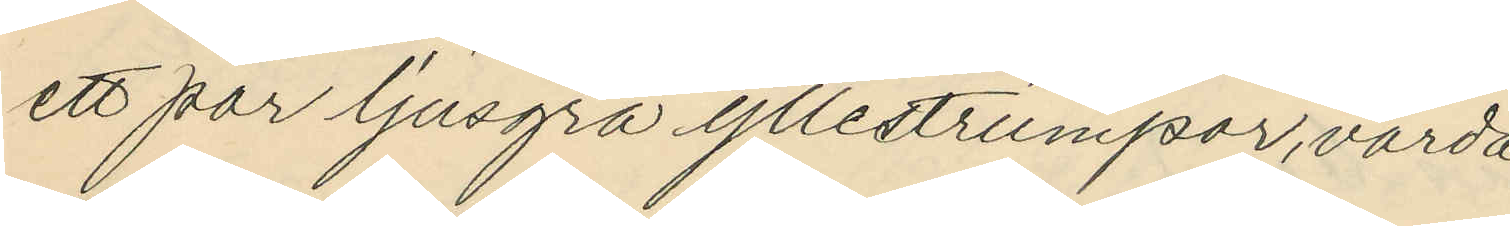ett par ljusgrå yllestrumpor, värda
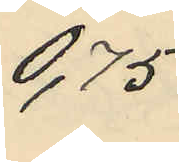0,75
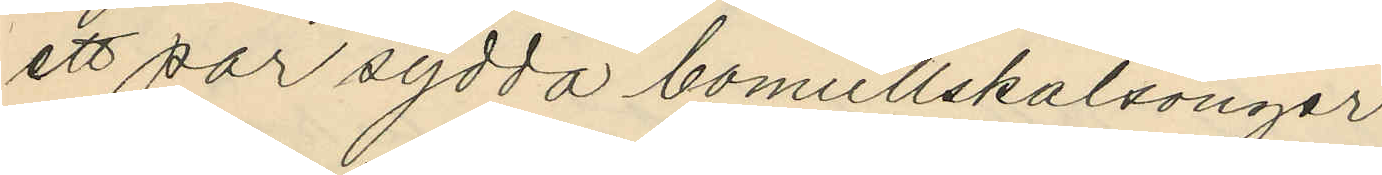ett par sydda bomullskalsonger
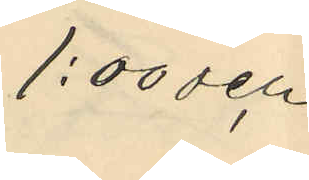1:00 och
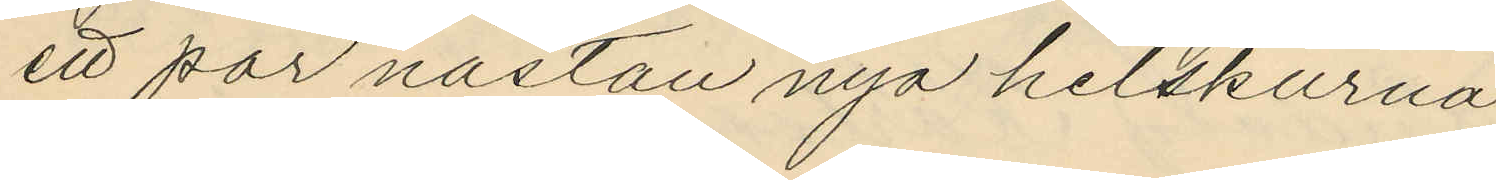ett par nästan nya helskurna
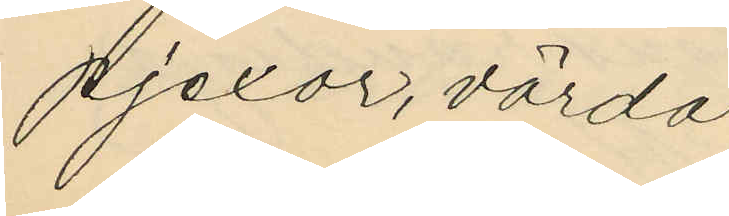pjexor, värda
